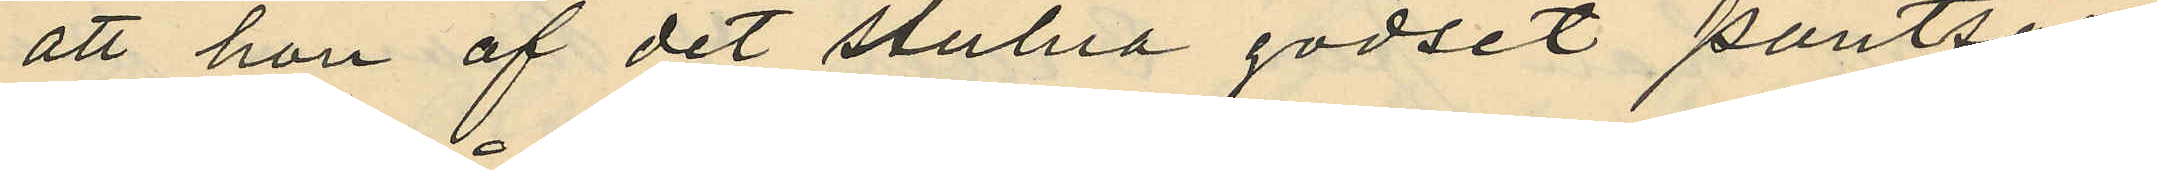att hon af det stulna godset pantsatt
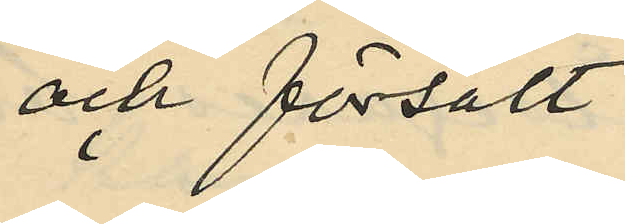och försålt
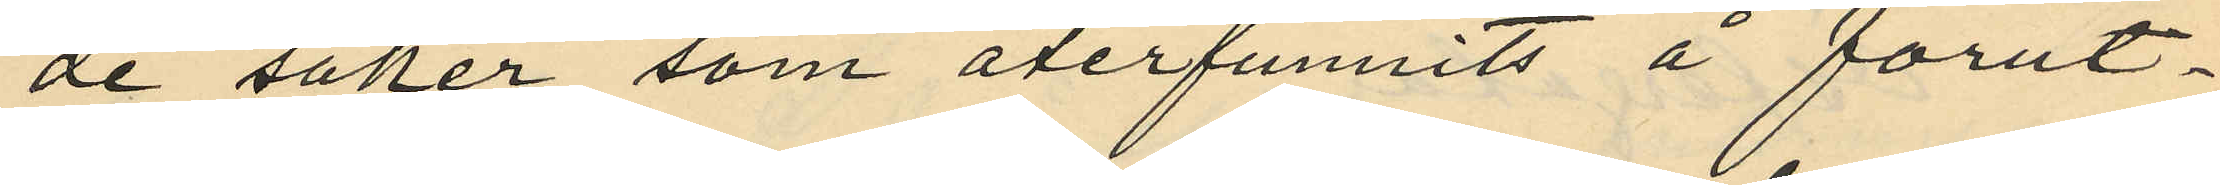de saker som återfunnits å förut¬
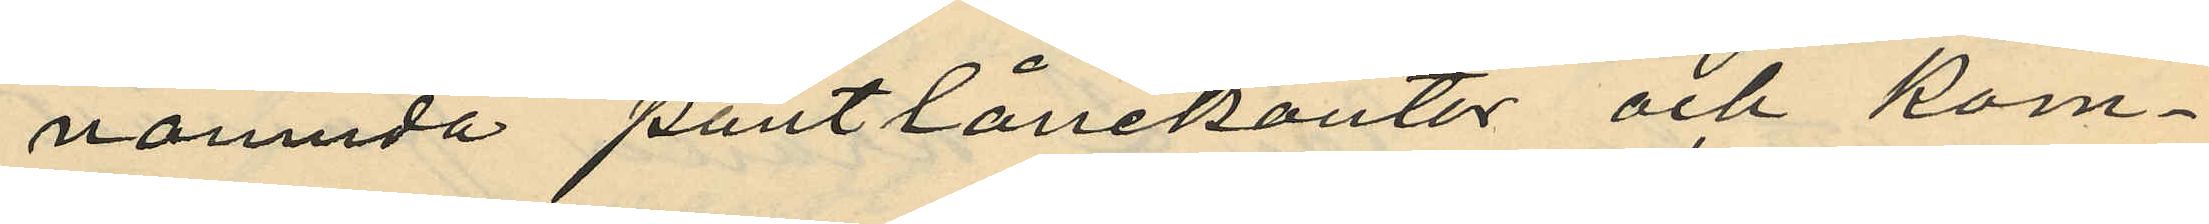nämnda pantlånekontor och kom¬
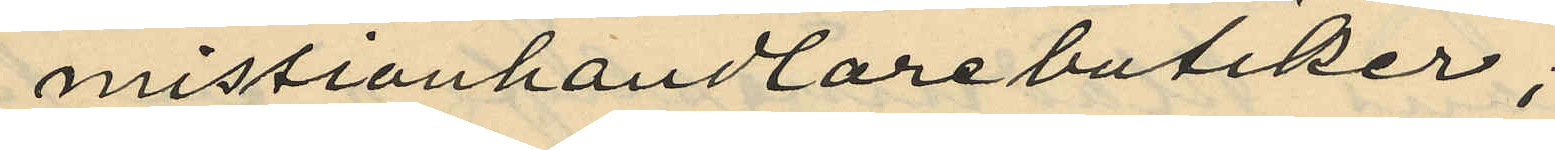missionhandlarebutiker;
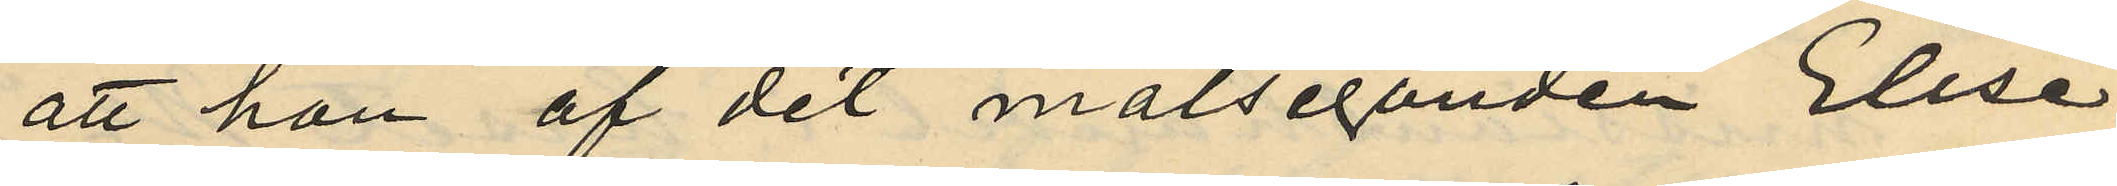att hon af det målseganden Elise
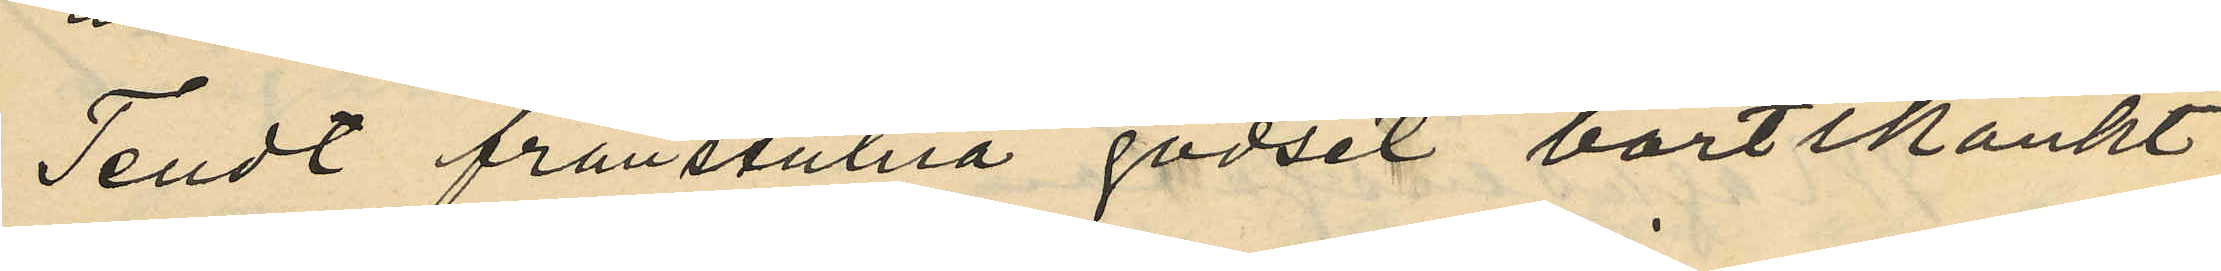Tendt frånstulna godset bortskänkt
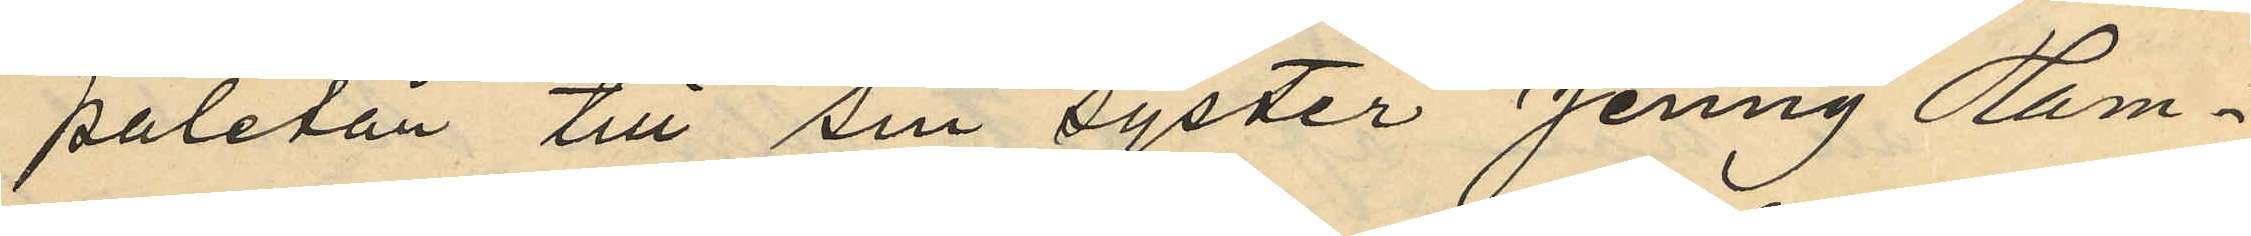paletån till sin syster Jenny Ham¬
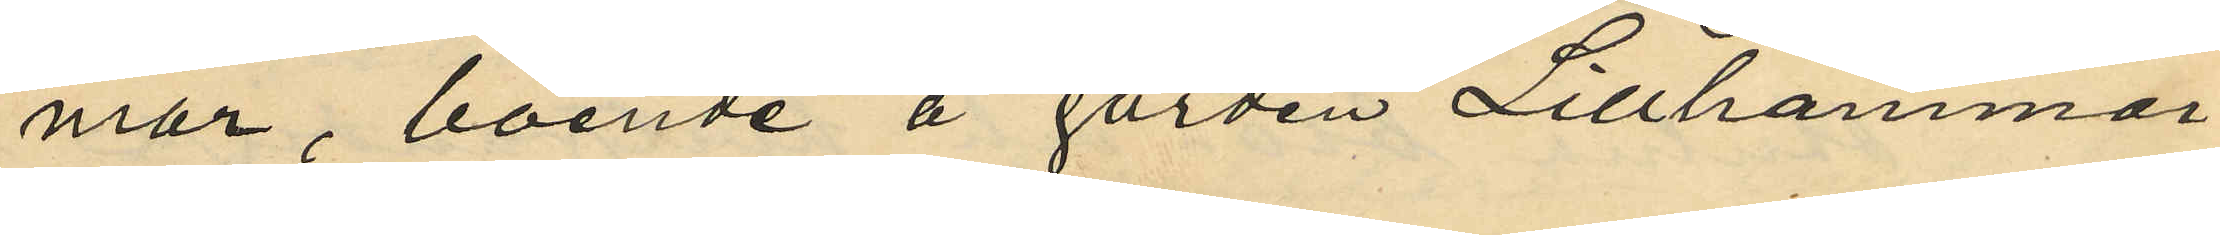mar, boende å gården Lillhammar
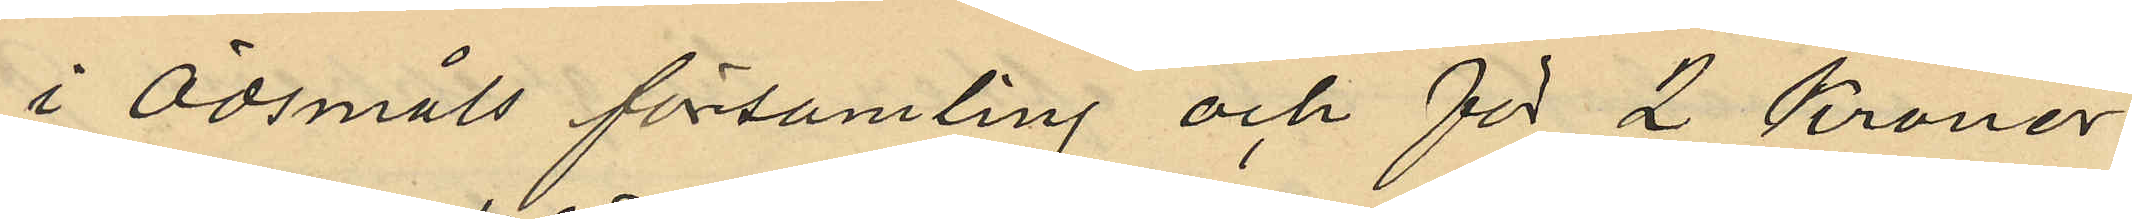i Ödsmåls församling och för 2 Kronor
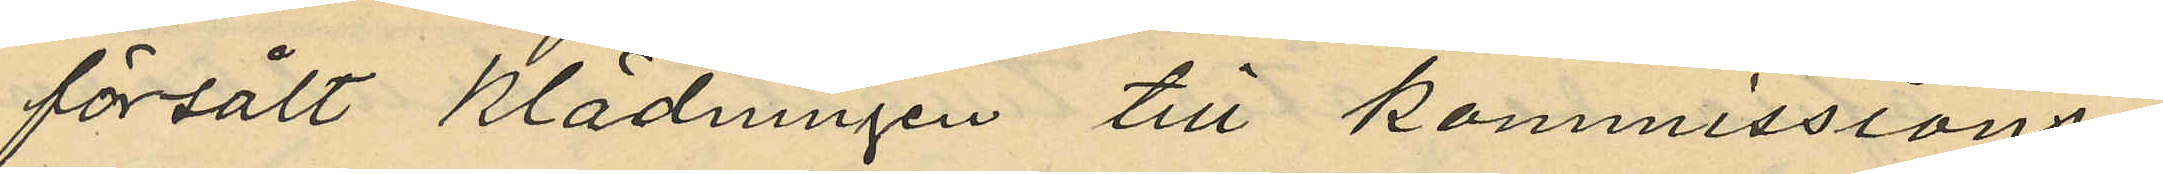försålt klädningen till kommissions¬
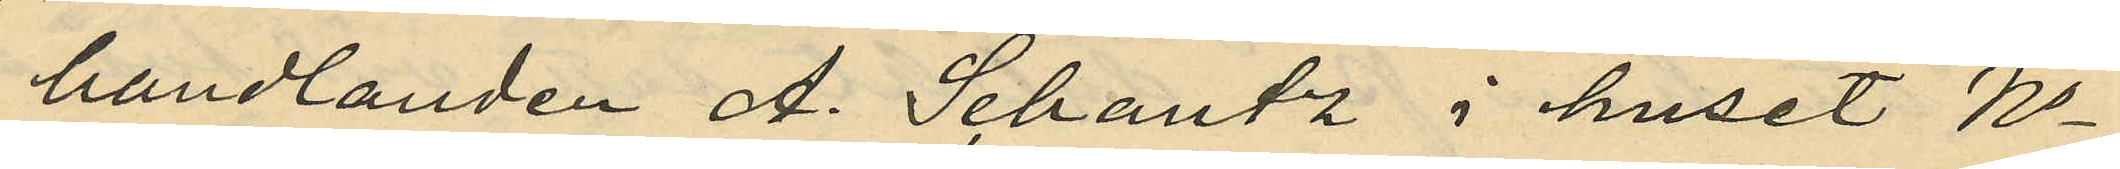handlanden A. Schantz i huset No
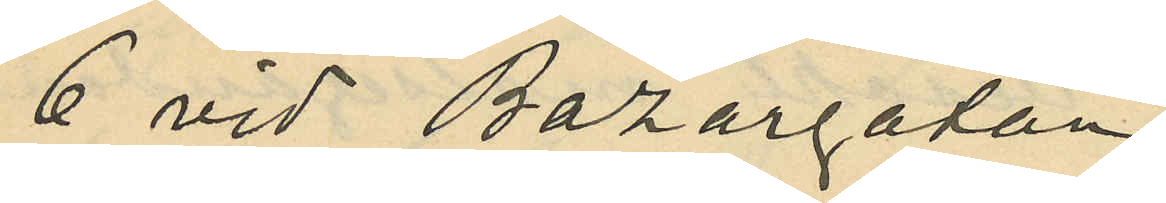6 vid Bazargatan;
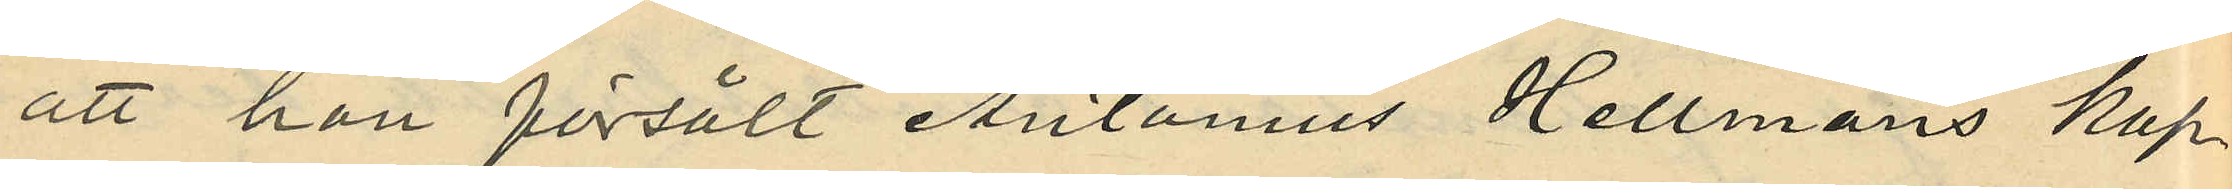att hon försålt Antonius Hellmans kap¬
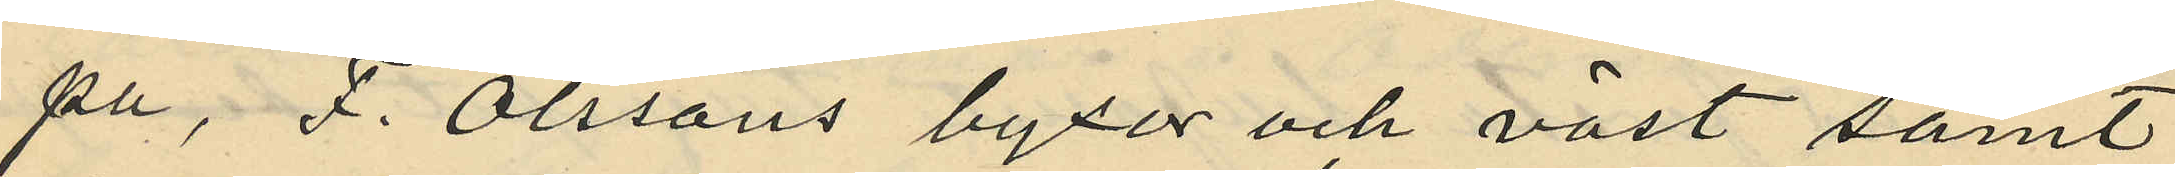pa, F. Olssons byxor och väst samt
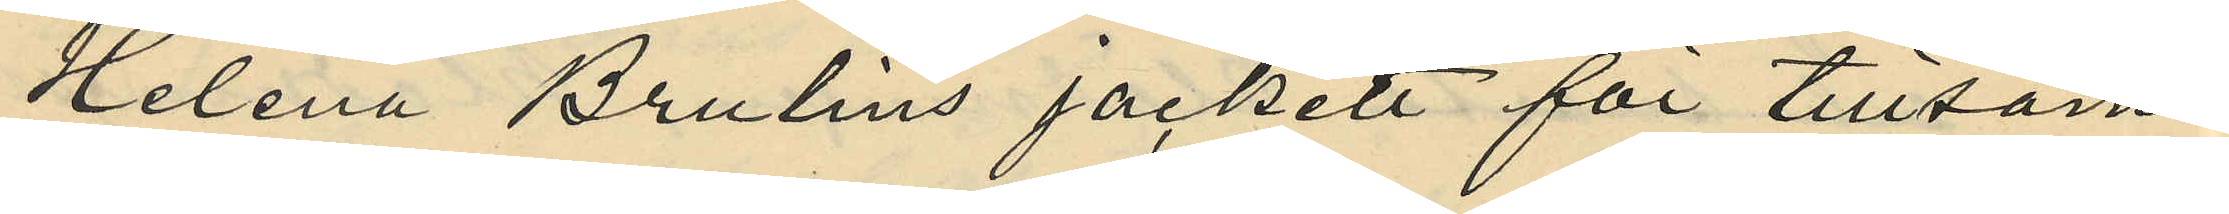Helena Brulins jackett för tillsam¬
